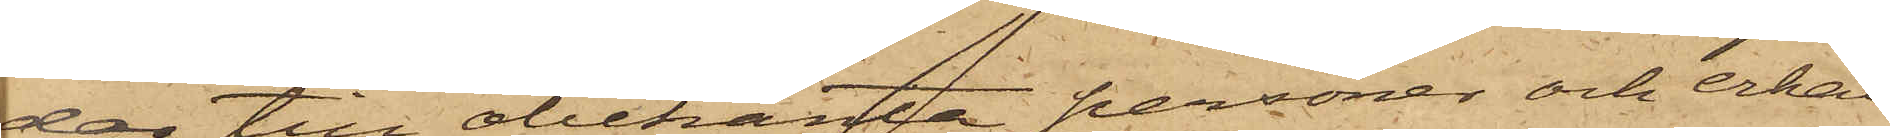dag till obekanta personer och erhål¬
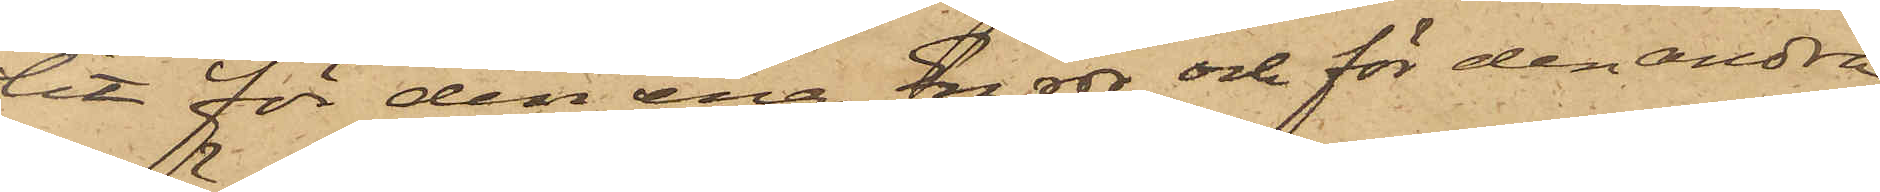lit för den ena En rdr och för den andra
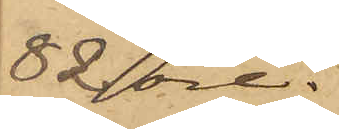82 öre.
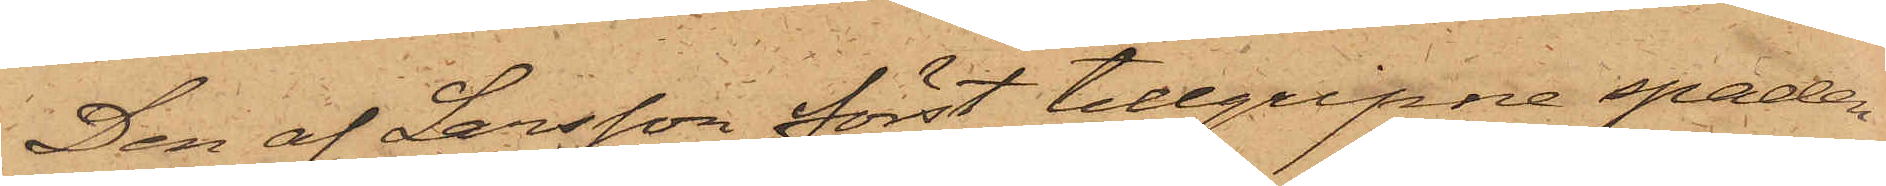Den af Larsson först tillgripne spaden
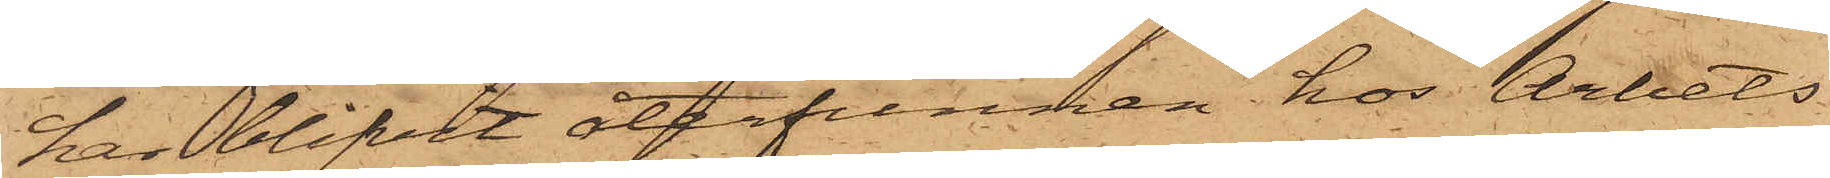har blifvit återfunnen hos Arbets¬
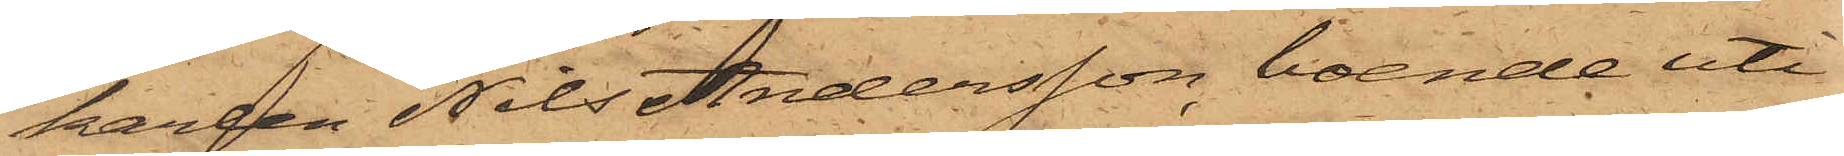karlen Nils Andersson, boende uti
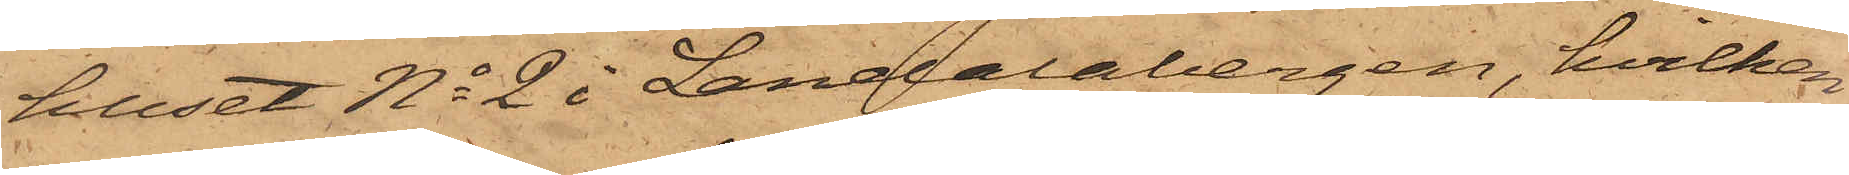huset No 2 i Landalabergen, hvilken
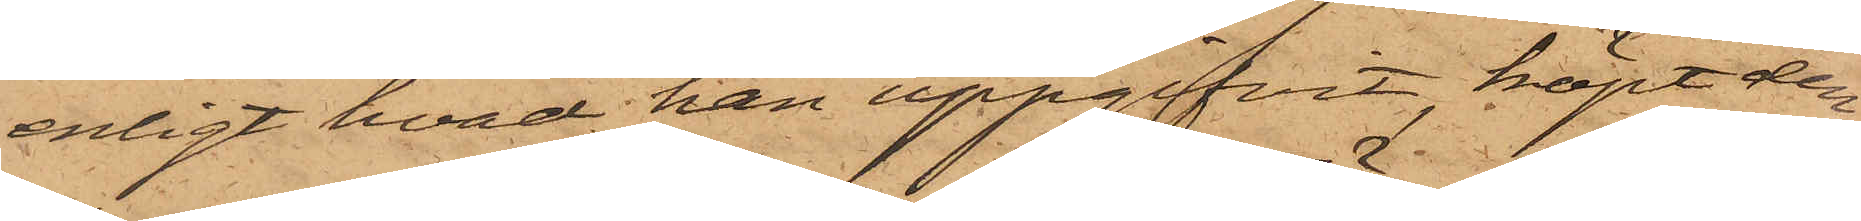enligt hvad han uppgifvit, köpt den¬
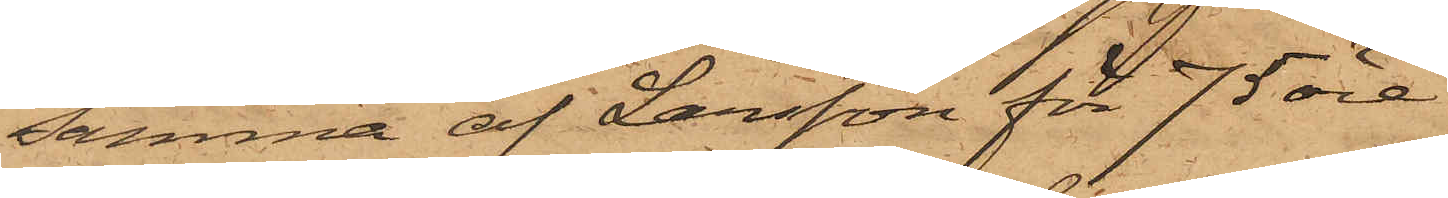samma af Larsson för 75 öre
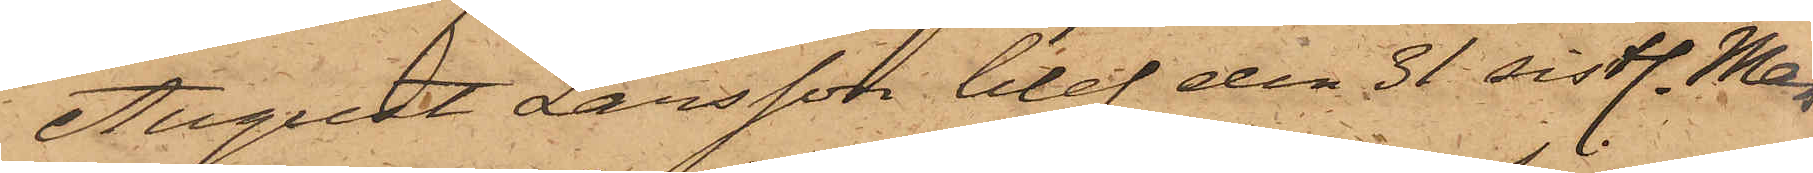August Larsson blef den 31 sistl. Mars
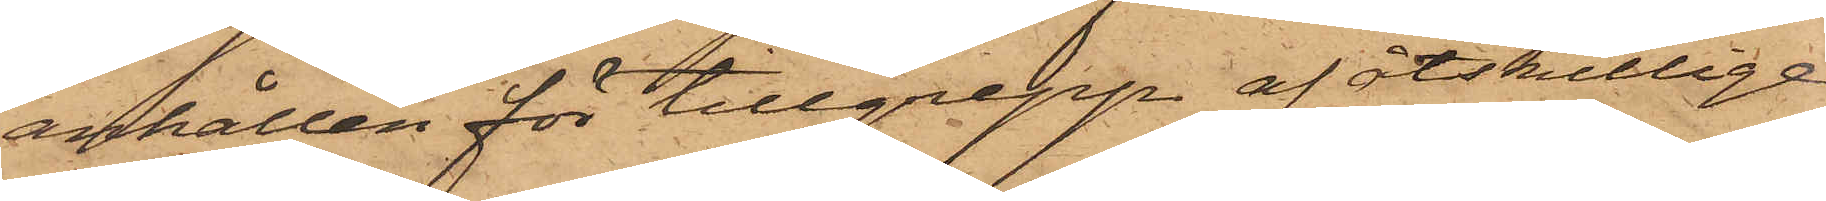anhållen för tillgrepp af åtskillige
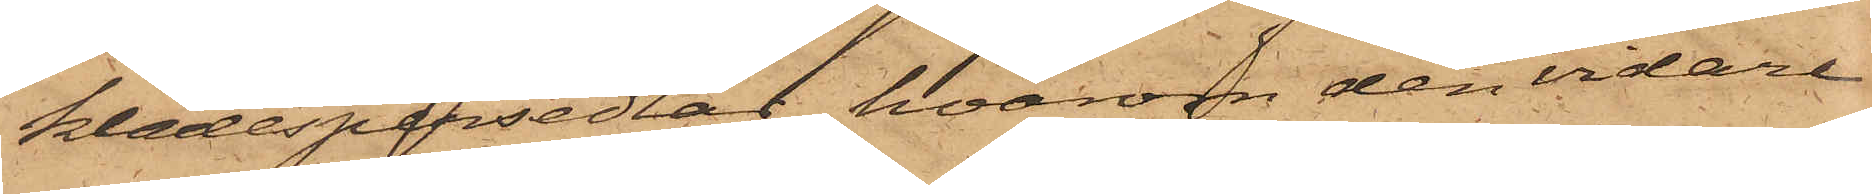klädespersedlar, hvarom den vidare
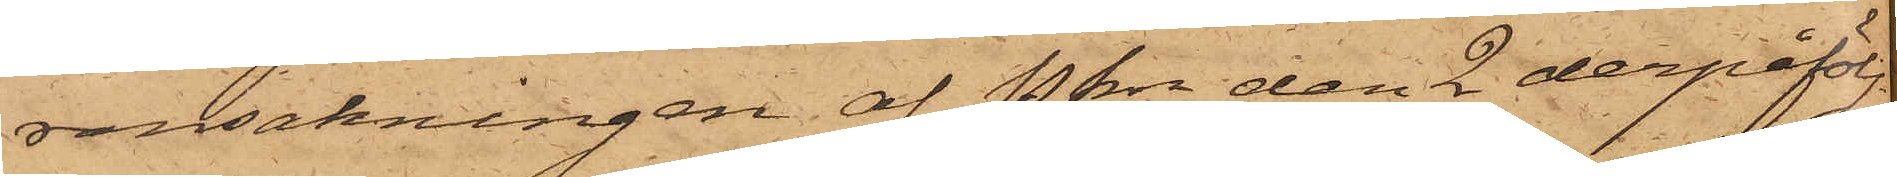ransakningen af Pkn den 2 derpåfölj¬
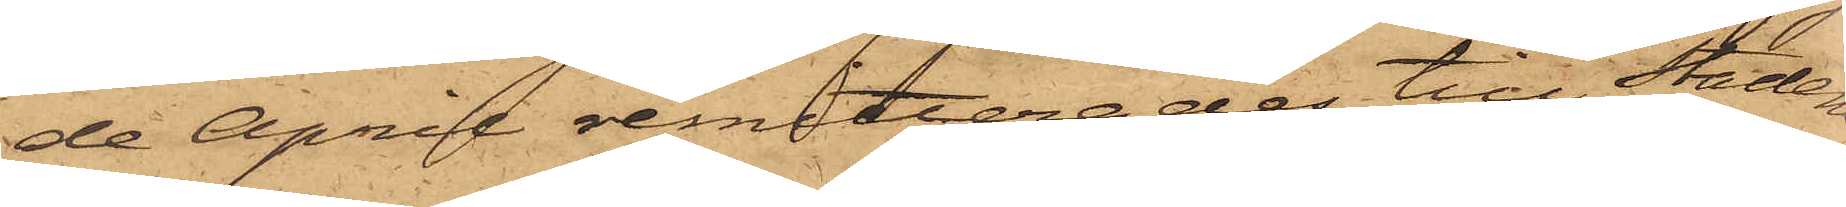de April remitterades till Stadens
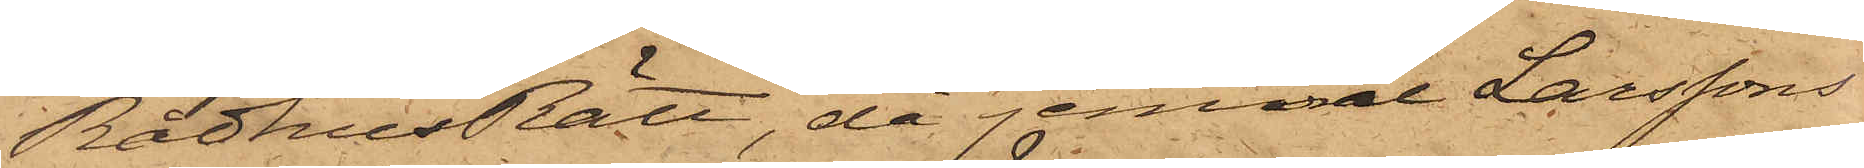Rådhusrätt, då jemväl Larssons
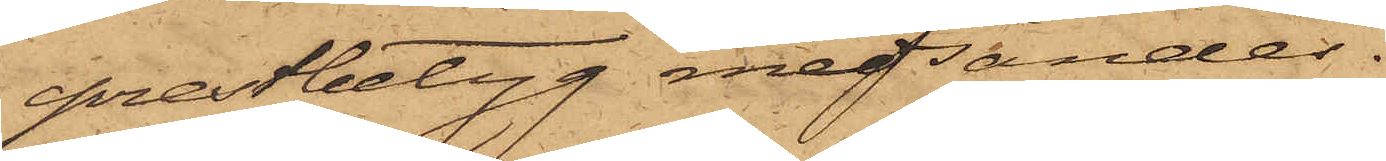prestbetyg medsändes.
